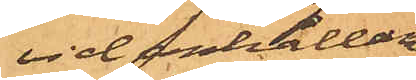vid anhållan-
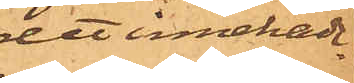det innehade.
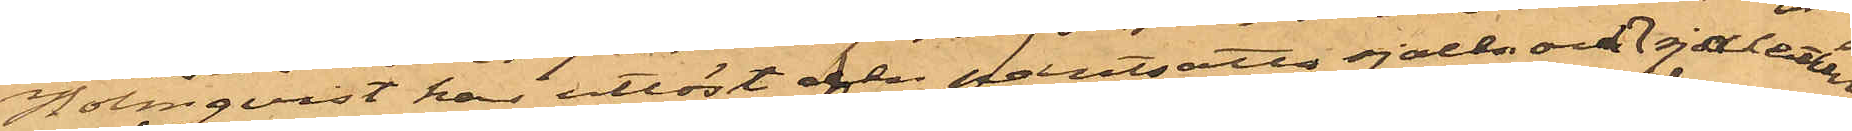Holmqvist har utlöst den pantsatta sjalen och sjaletten
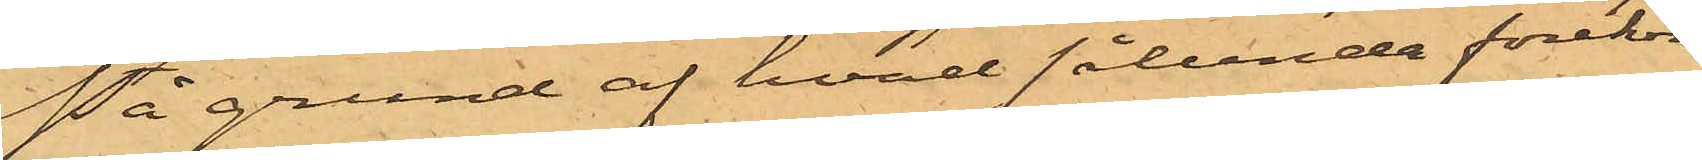På grund af hvad sålunda förekom¬
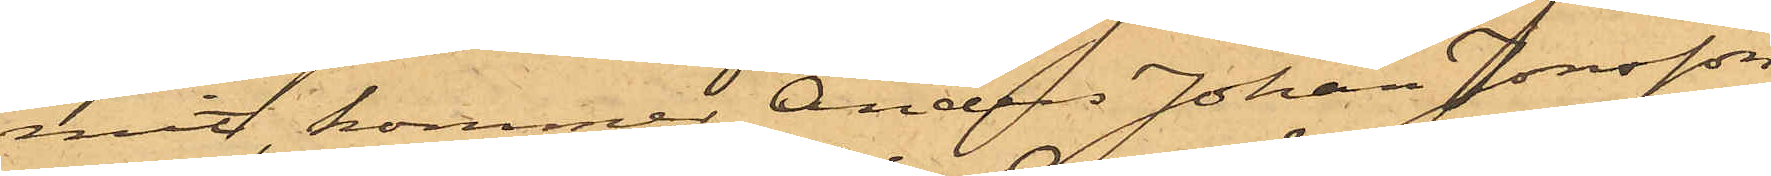mit, kommer Anders Johan Jonsson,
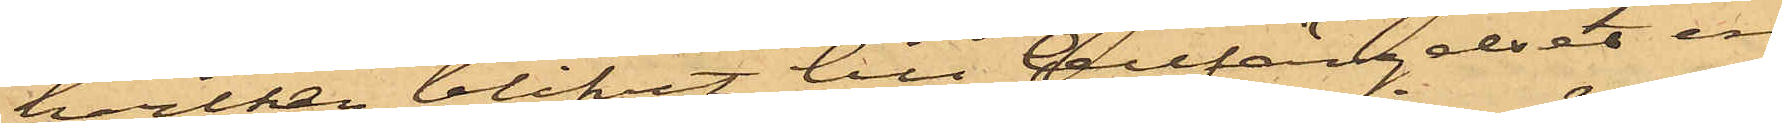hvilken blifvit till Cellfängelset in¬
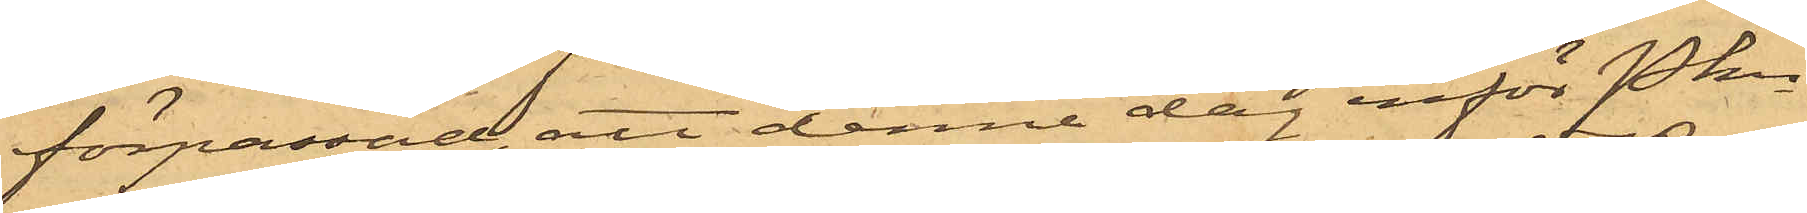förpassad, att denna dag inför Pkn
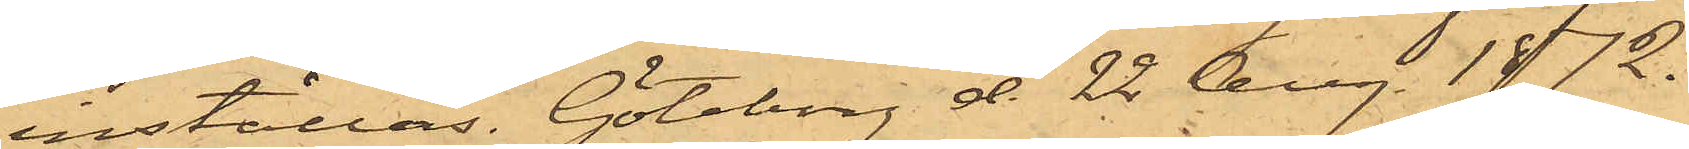inställas. Göteborg d. 22 Aug. 1872.
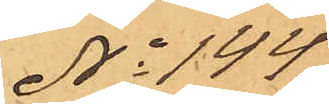No 144
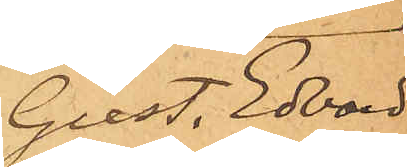Gust. Edvard
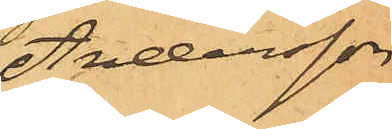Andersson
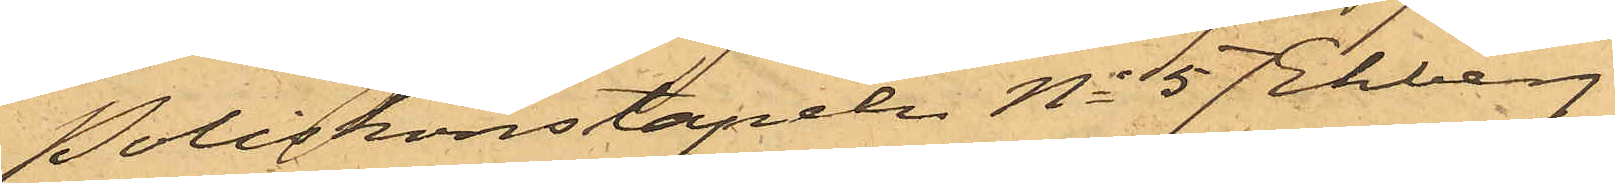Poliskonstapeln No 57 Ekberg
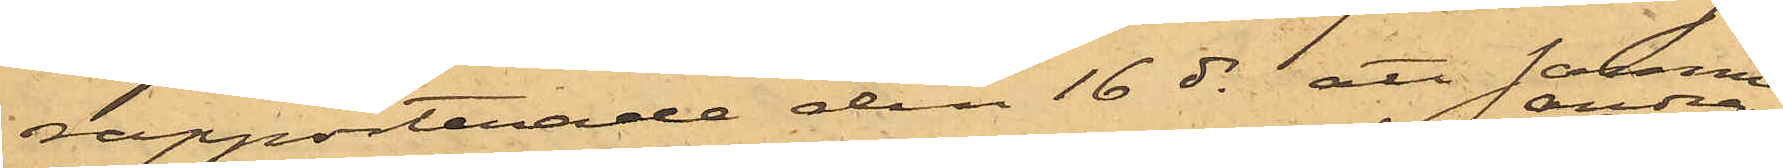rapporterade den 16 ds att samma
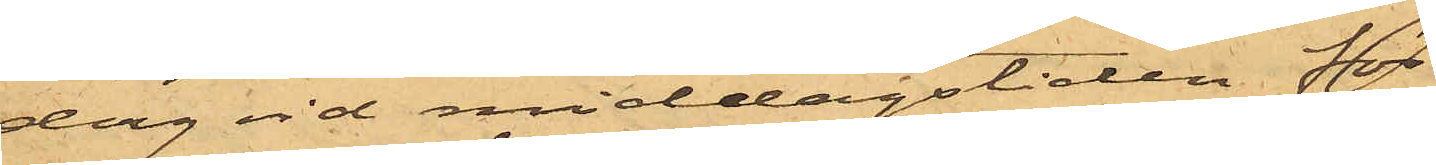dag vid middagstiden för
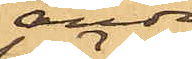andra
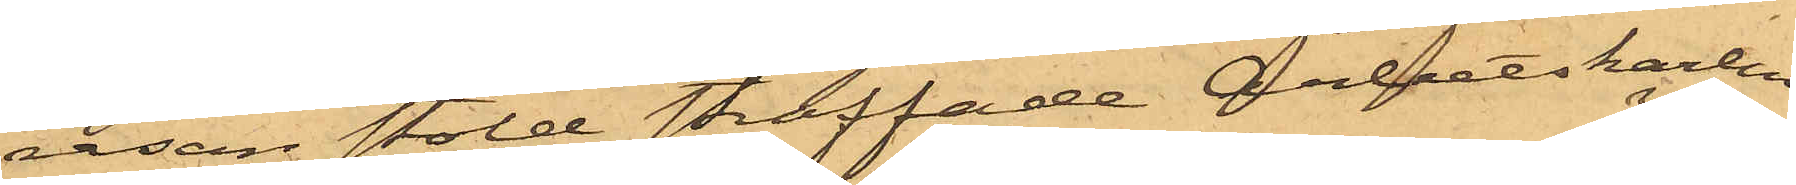resan stöld straffade Arbetskarlen
